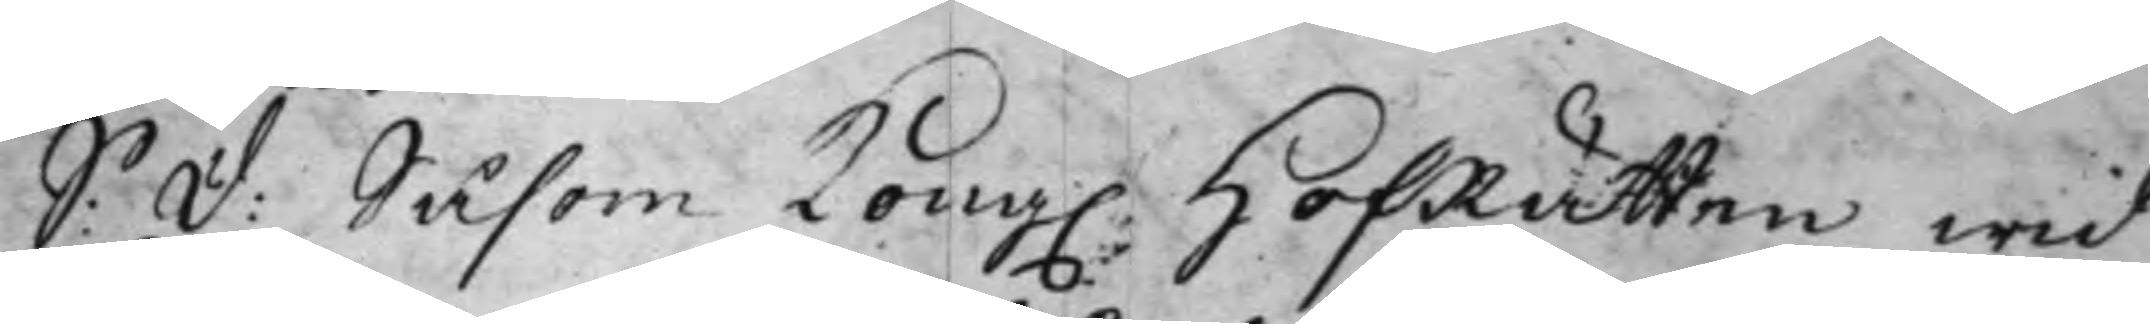S: d: Såsom Kong. HofRätten wid
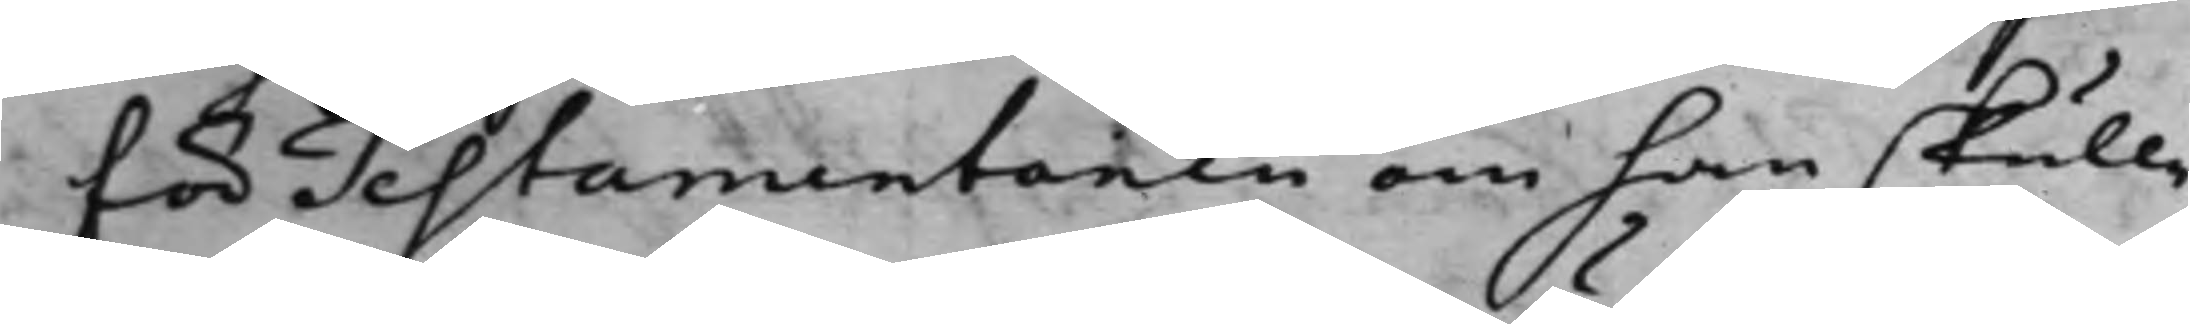för Testamentoren om han skulle
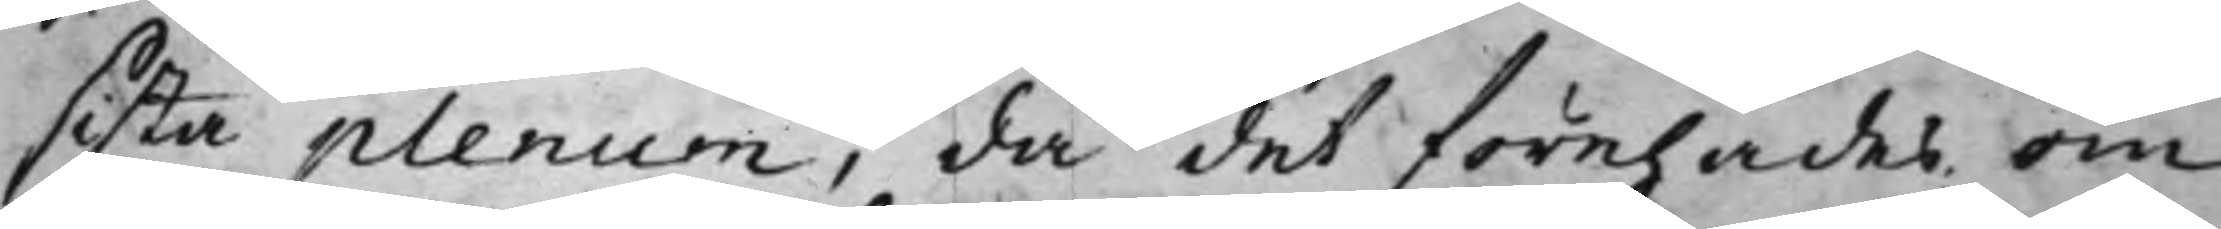sista plenum, då det förehades om
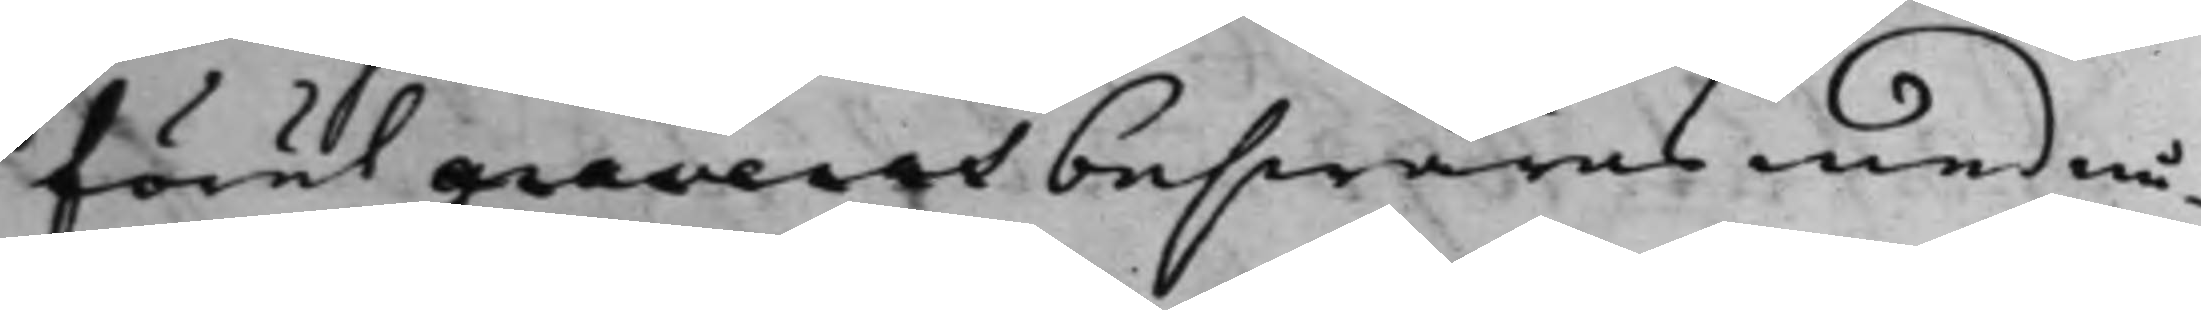förut graveras beswäras med nå¬
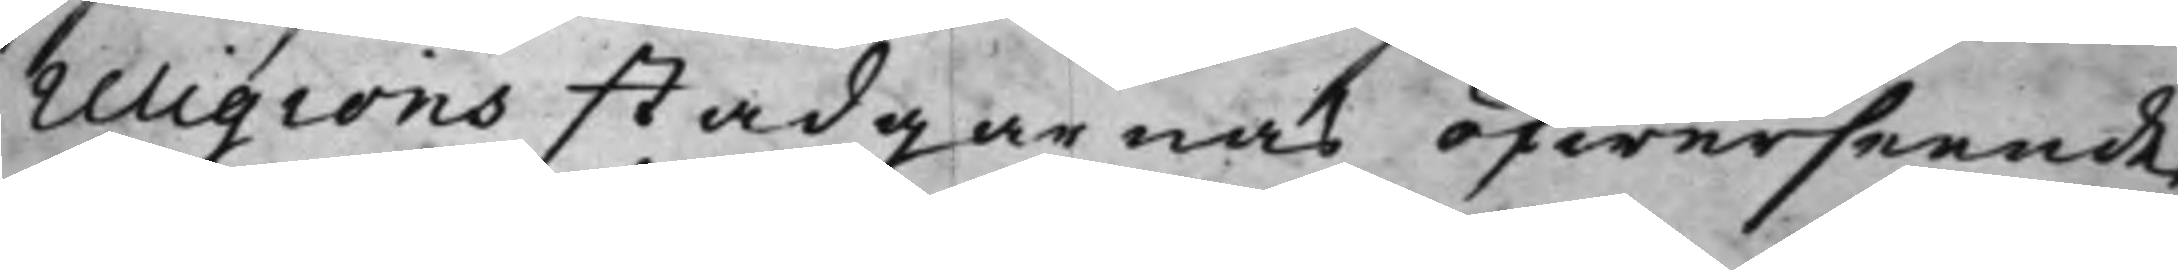religions stadgarnas öfwerseende,
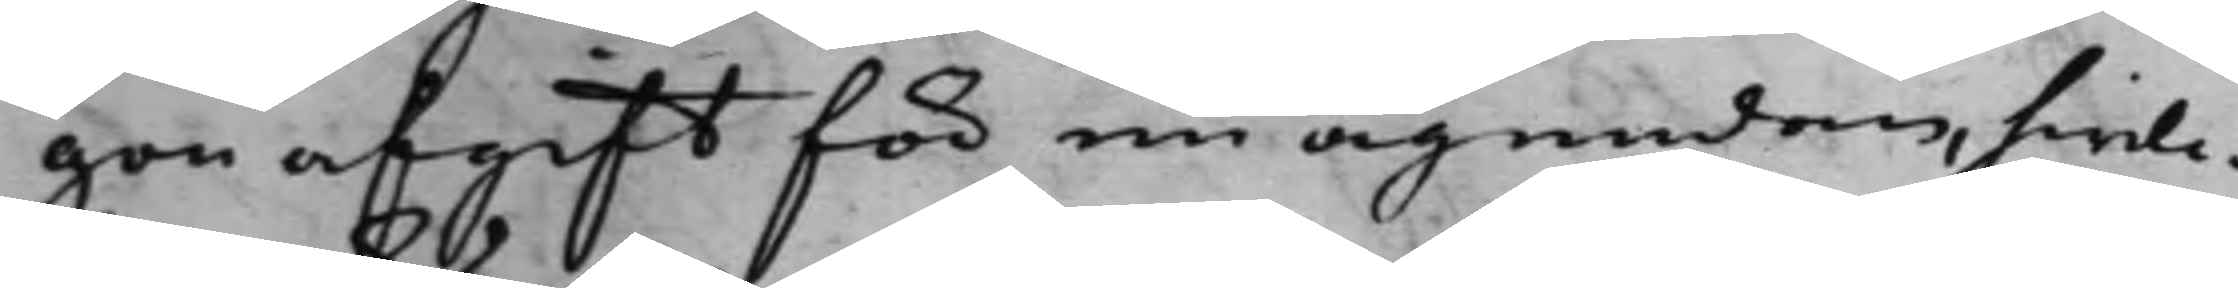gon afgift för nu ägendom, hwil¬
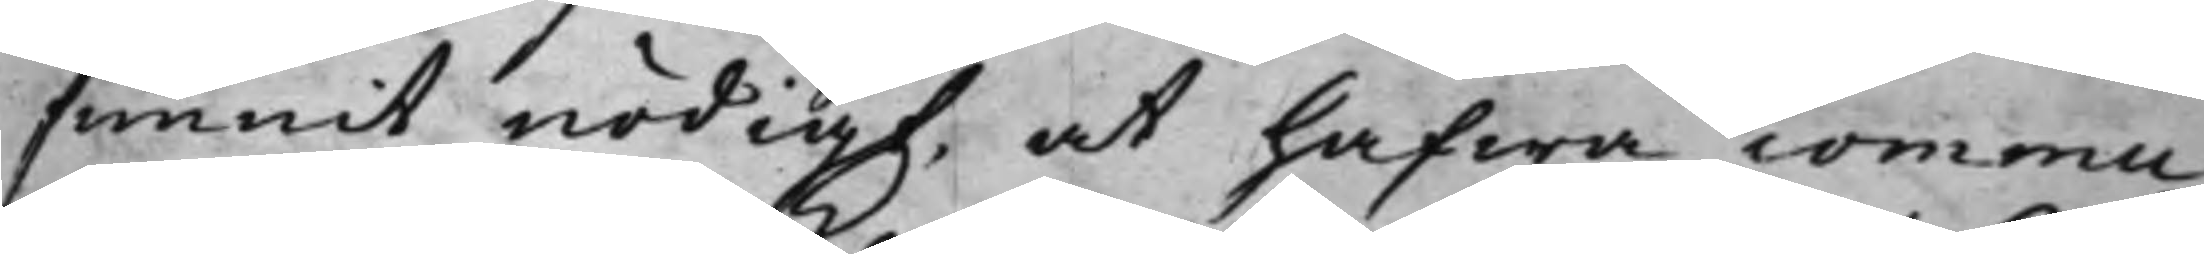funnit nödigt, at hafwa commu¬
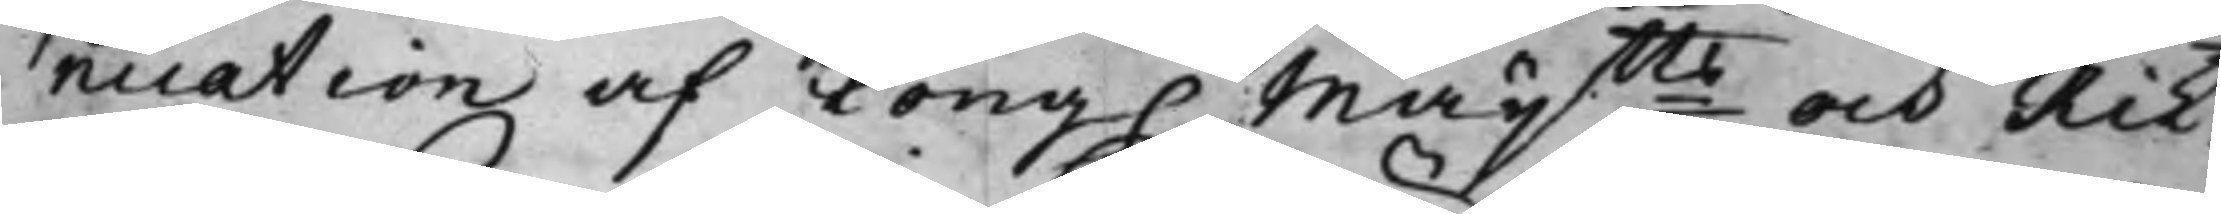nication af Kong. Maij:tts och Rik¬
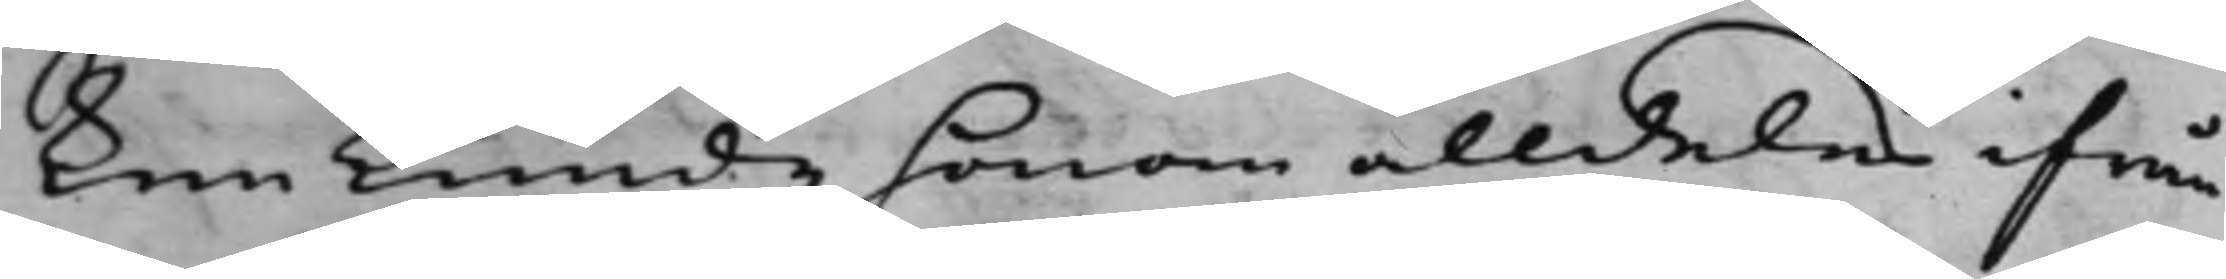ken kunde honom alldeles ifrån
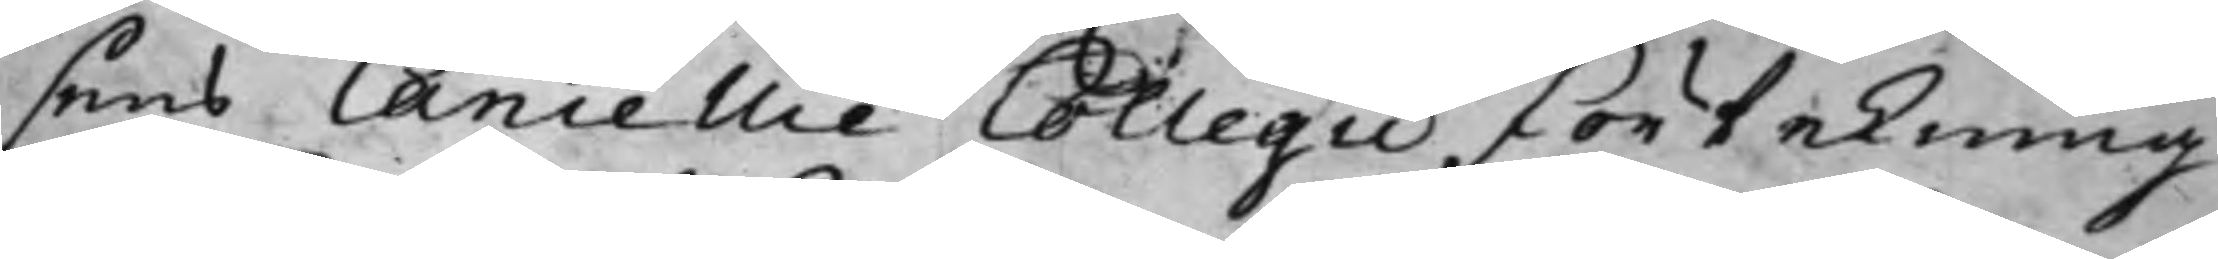sens Cancellie Collegii förtekning
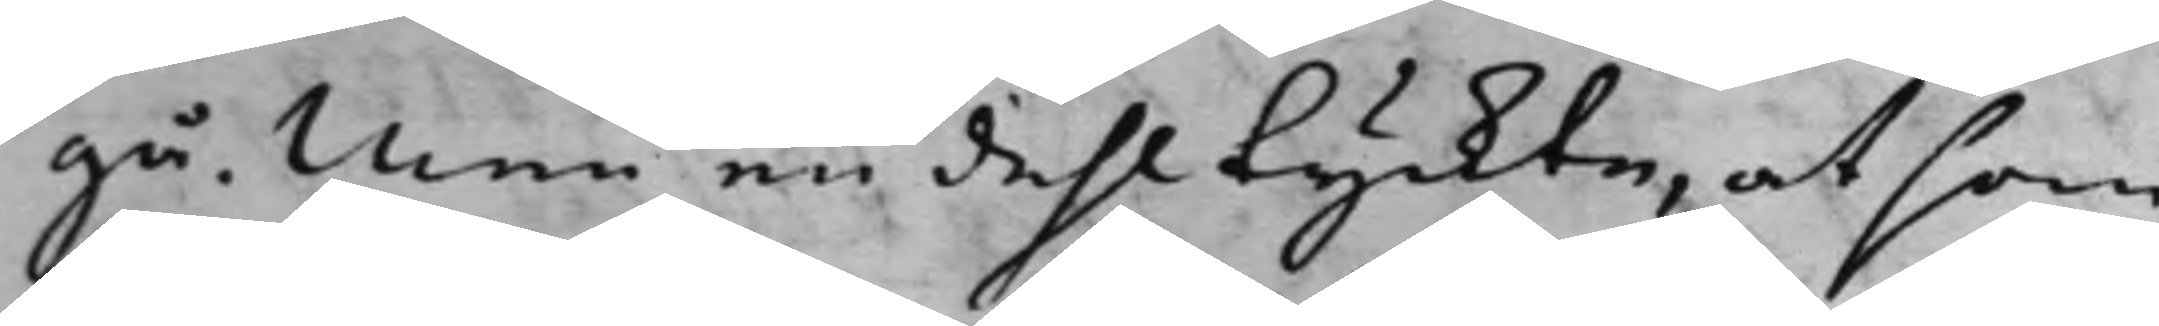gå, Men en dehl tyckte, at som
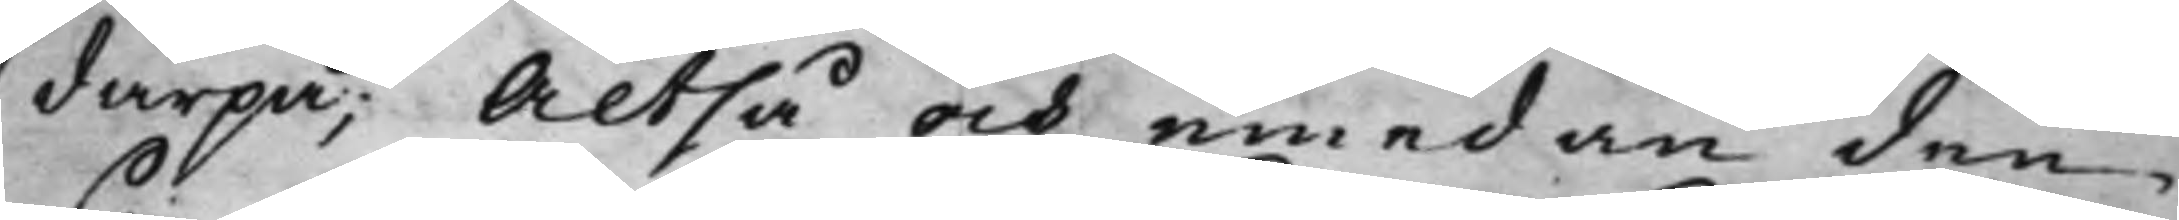därpå, Altså och emedan den¬
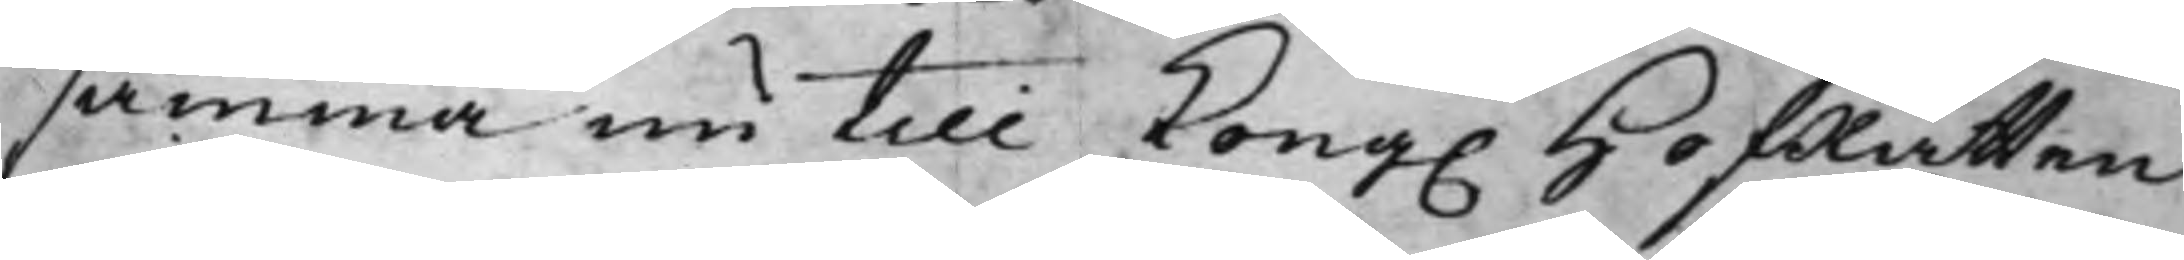samma nu till Kong. HofRätten
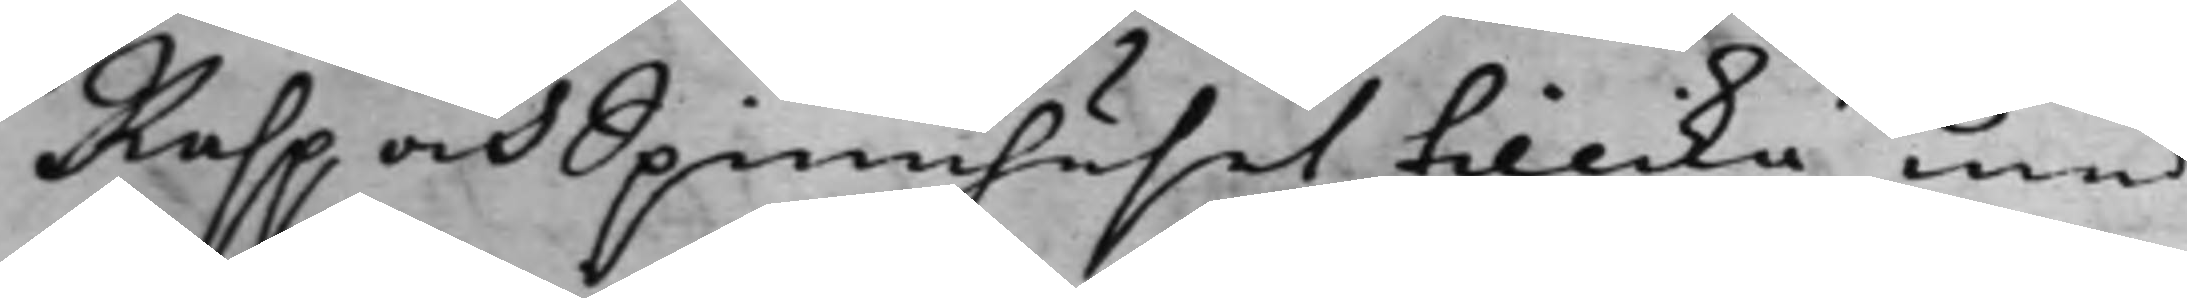Rasp och Spinnhuset tillika med
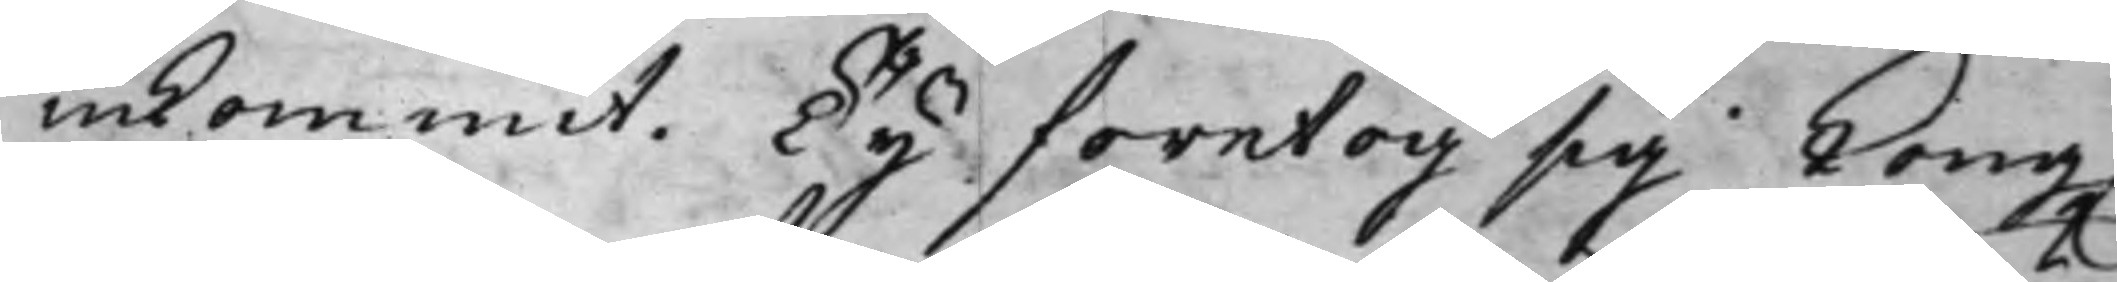inkommit. Ty företog sig Kong.
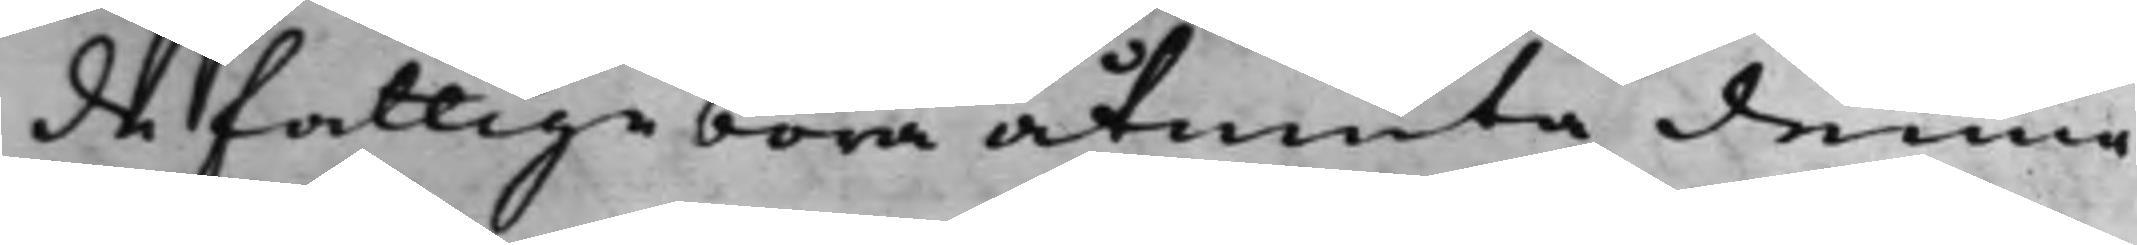de fattiga böra åtniuta denna
